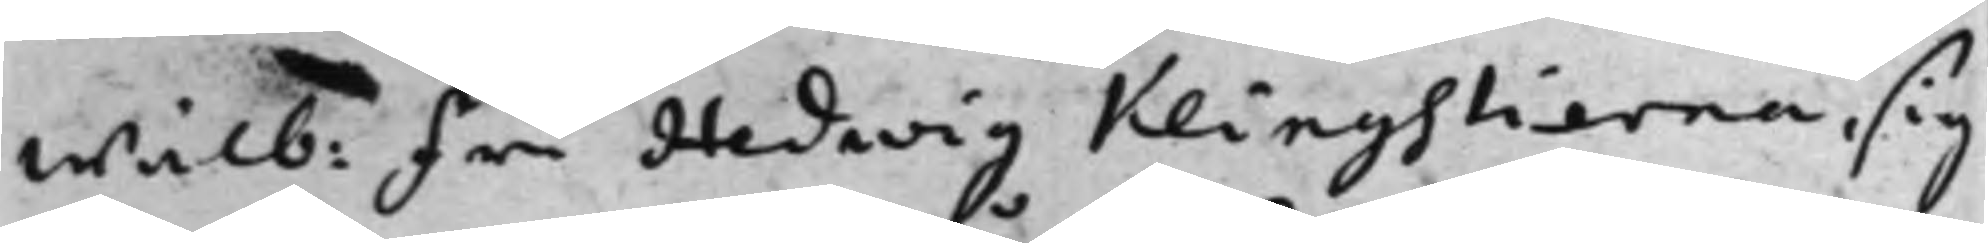Wälb: Fru Hedwig Klingstierna, sig
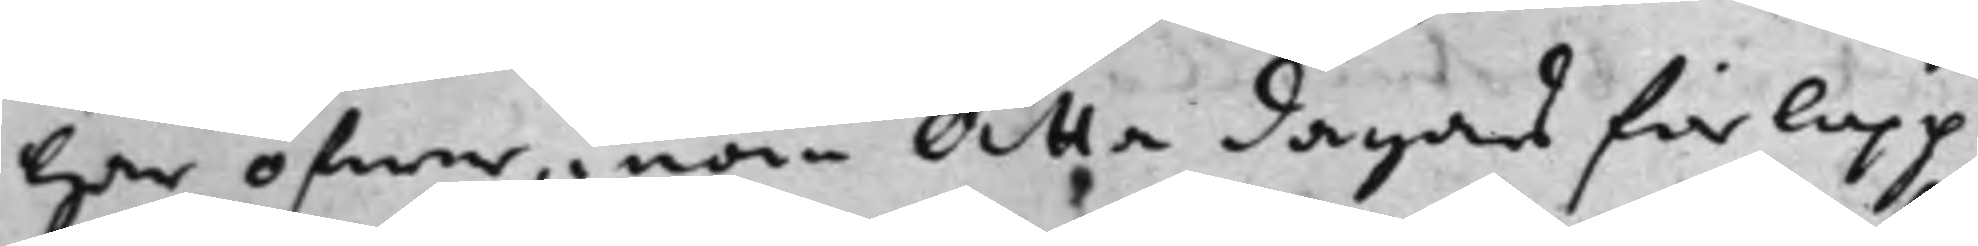här öfwer, inom Åtta dagars förlopp
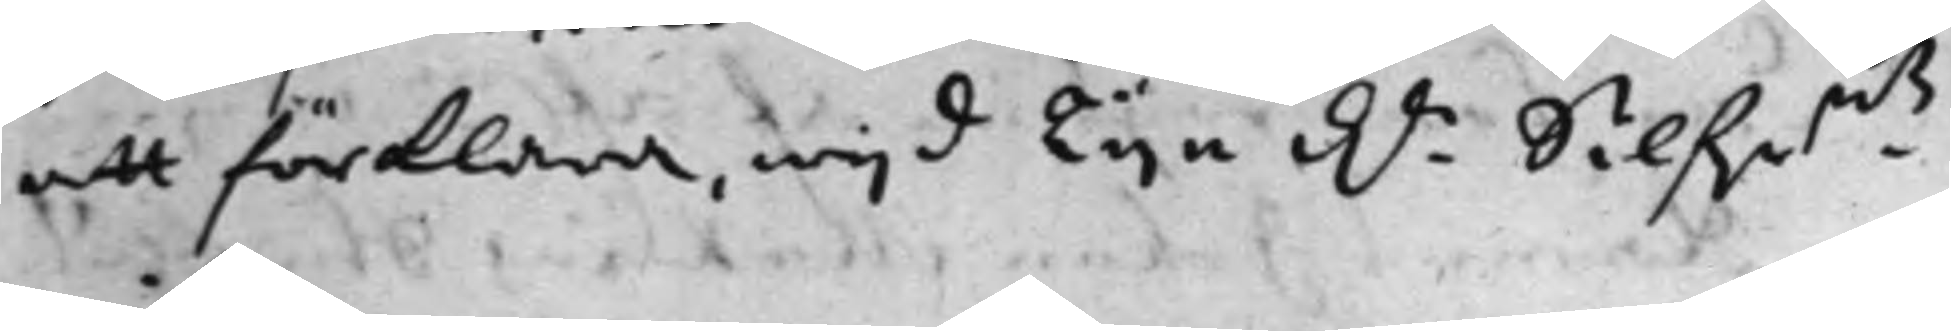att förklara, wijd Tije d.r Silf.r.mtz
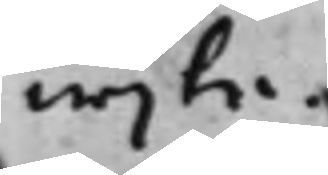wijte.
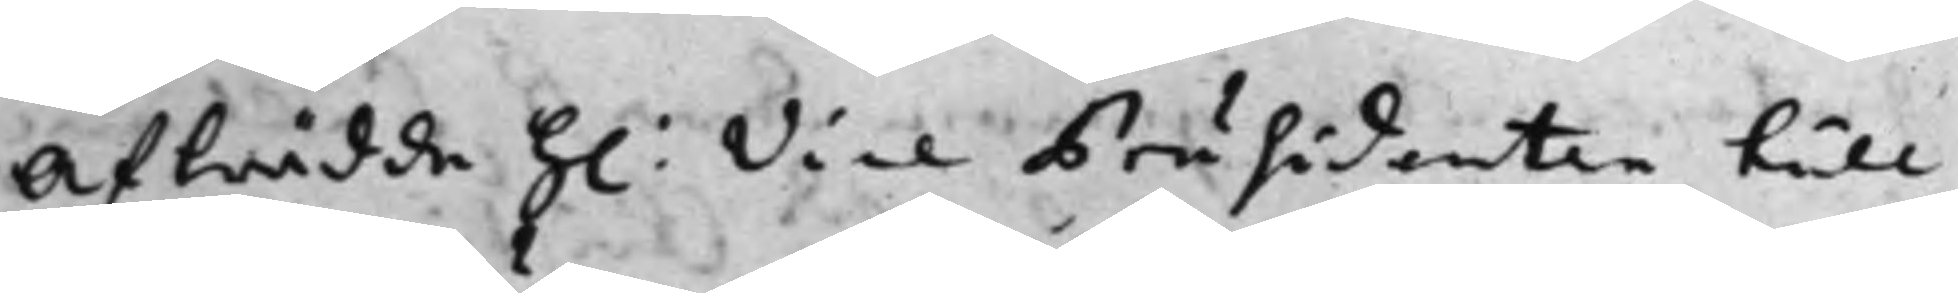Afträdde H: Vice Präsidenten till
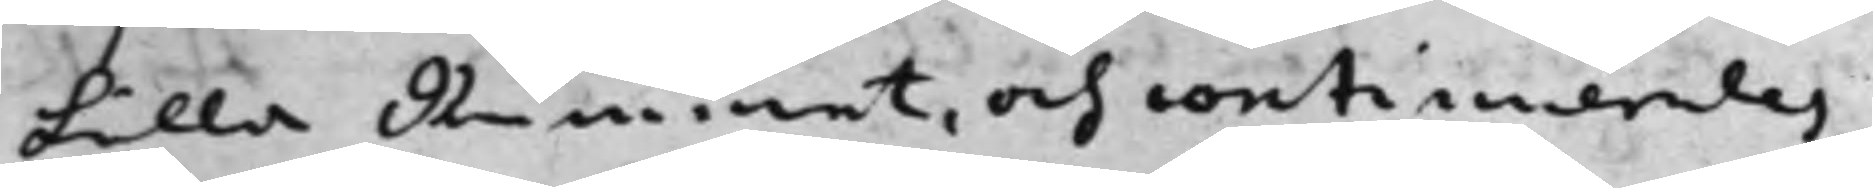Lilla Rummet, och continuerades
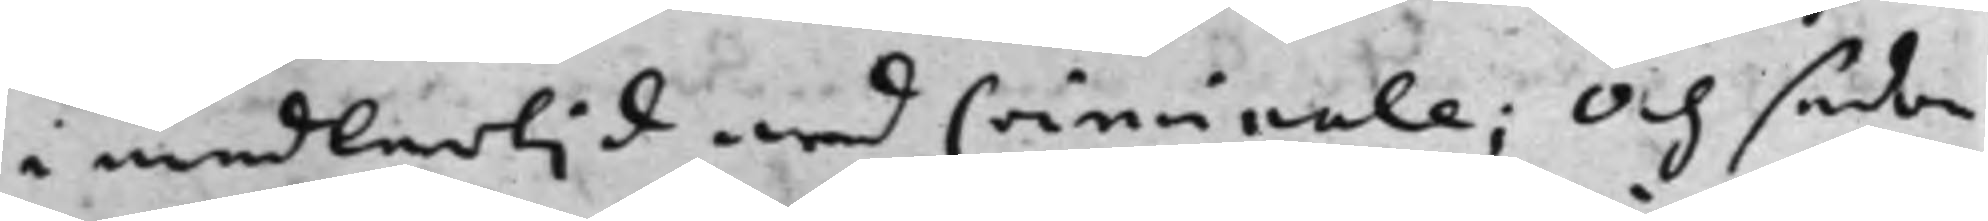i medlertid med Criminale; Och sedan
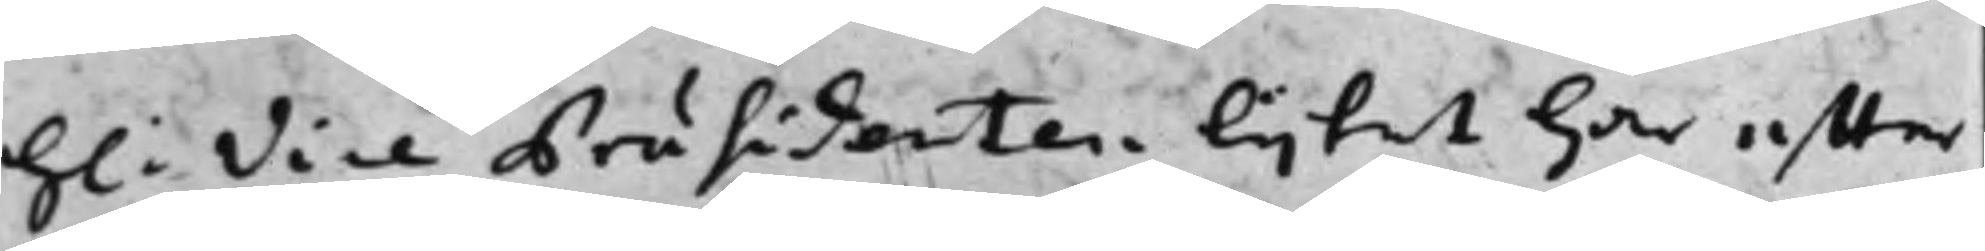H: Vice Präsidenten lijtet här effter
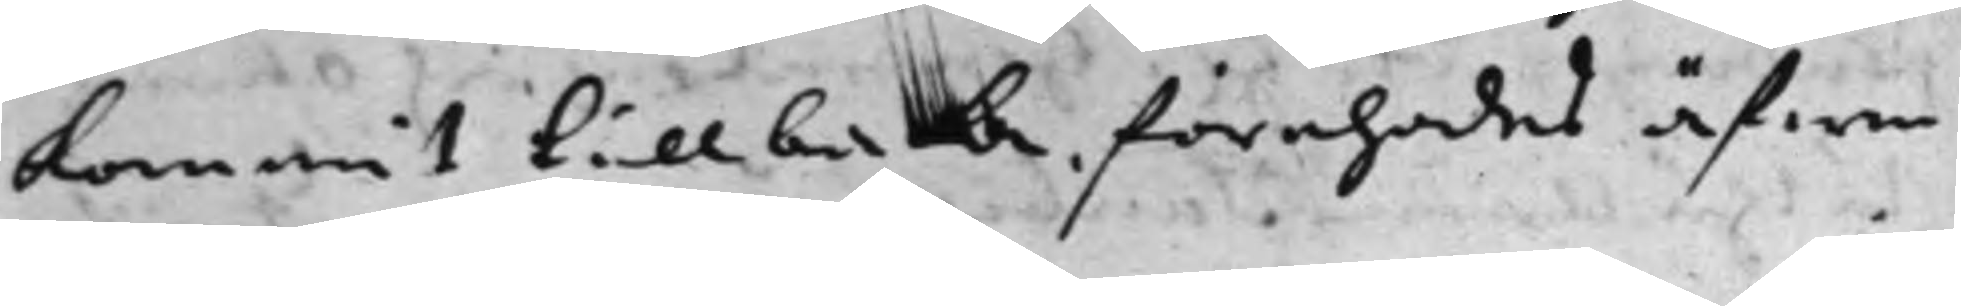kommit tillbaka, förehades äfwen
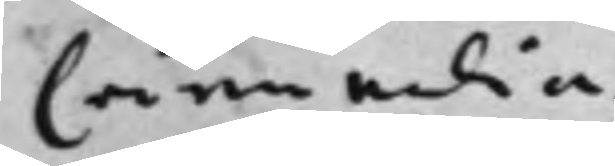Criminalia.
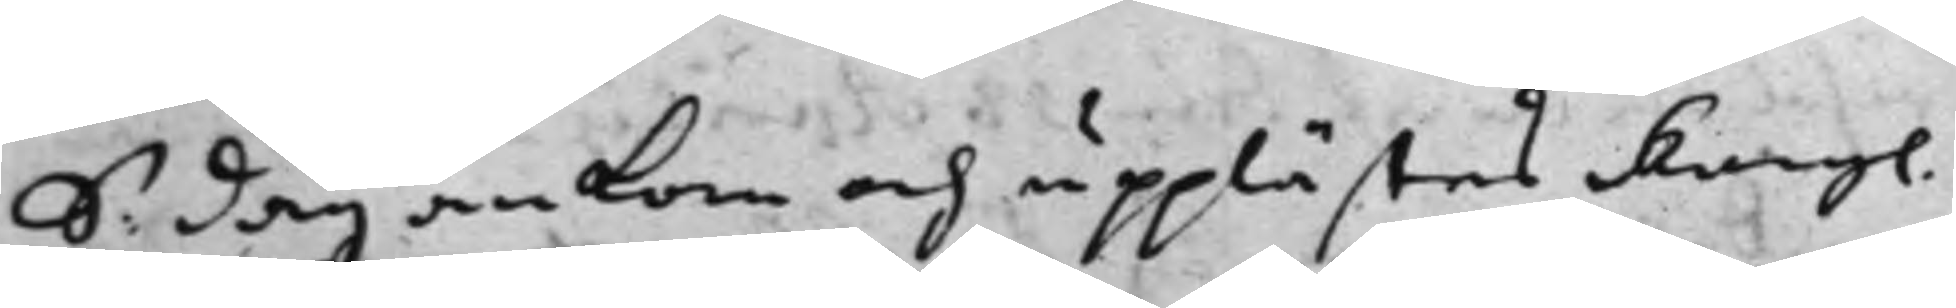S. dag ankom och upplästes Kongl.
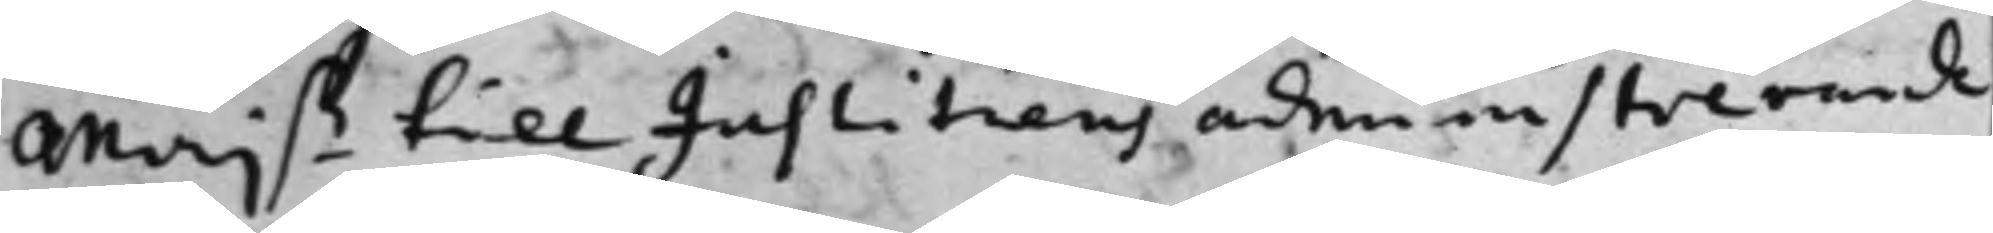Maj.tz till Justitiens administrerande
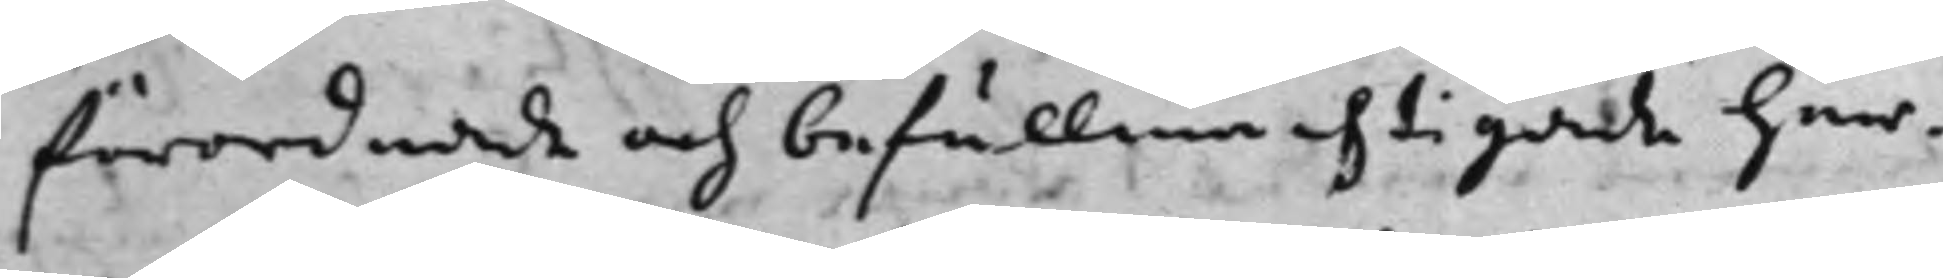förordnade och befullmächtigade her¬
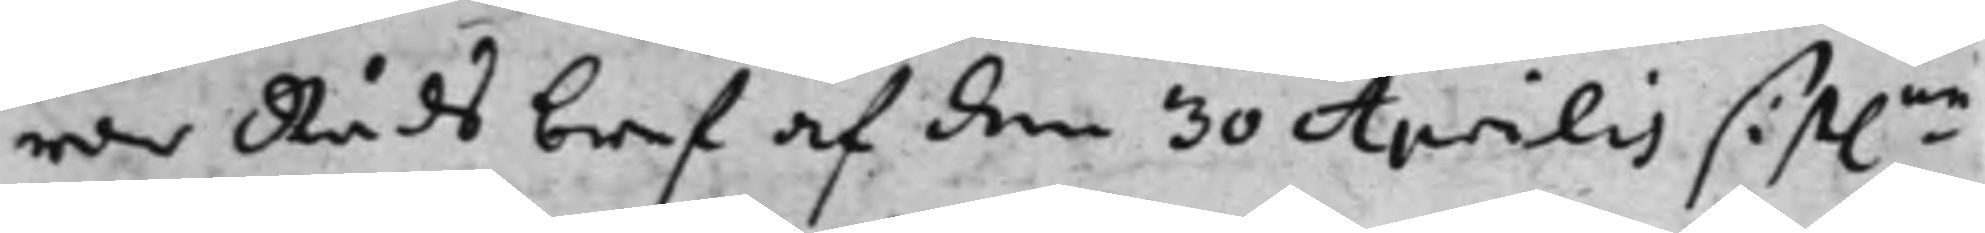rar Råds bref af den 30 Aprilis sist.ne
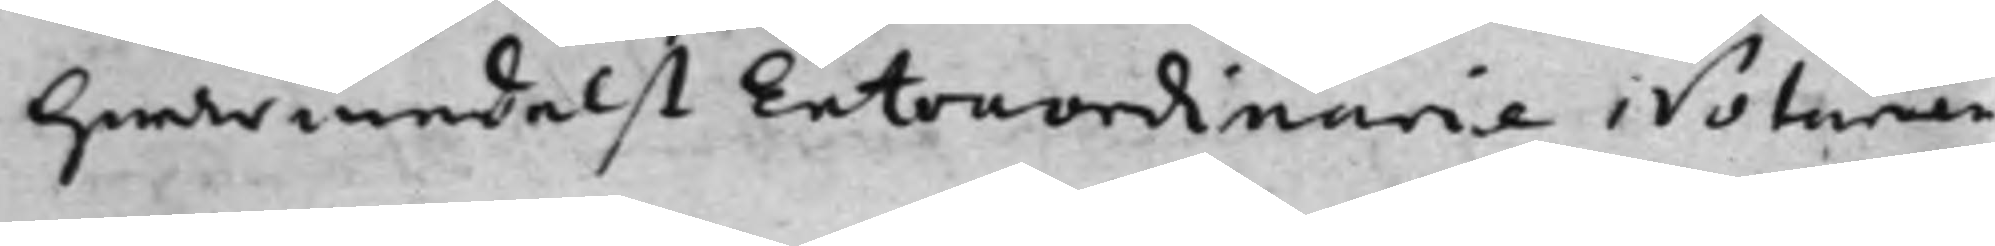hwarmedelst Extraordinarie Notarien
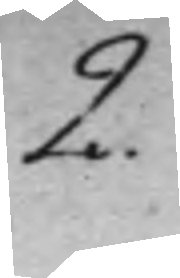2.
